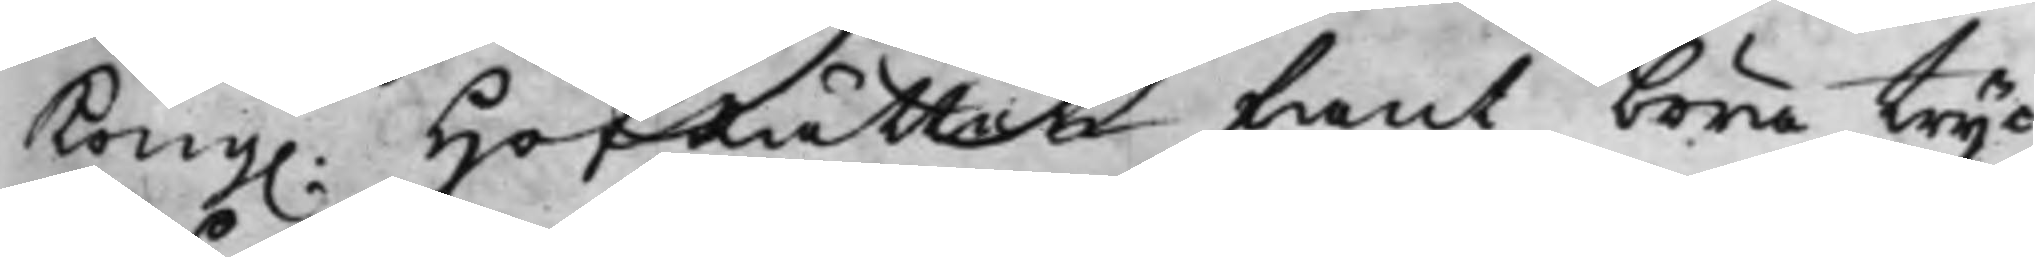Kong. HofRätten fant böra tryc¬
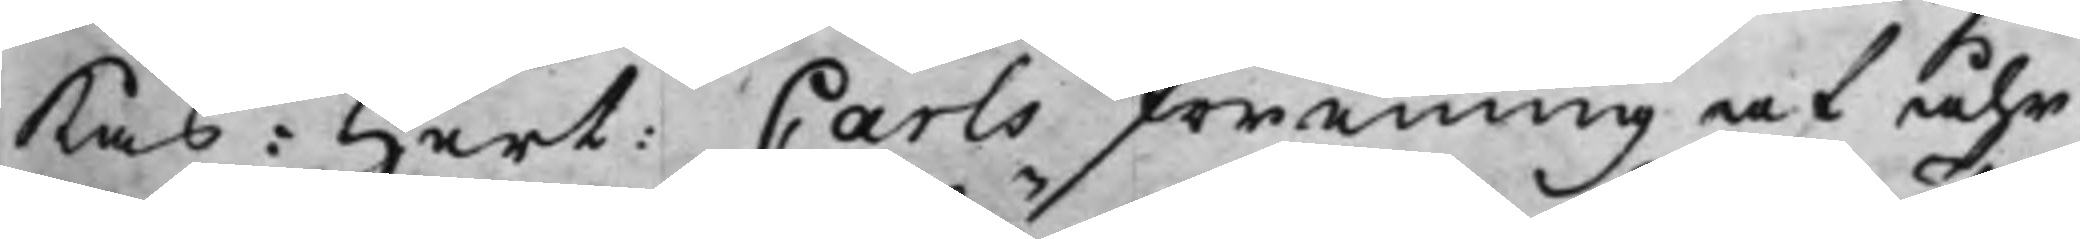kas: Hert: Carls förening af åhr
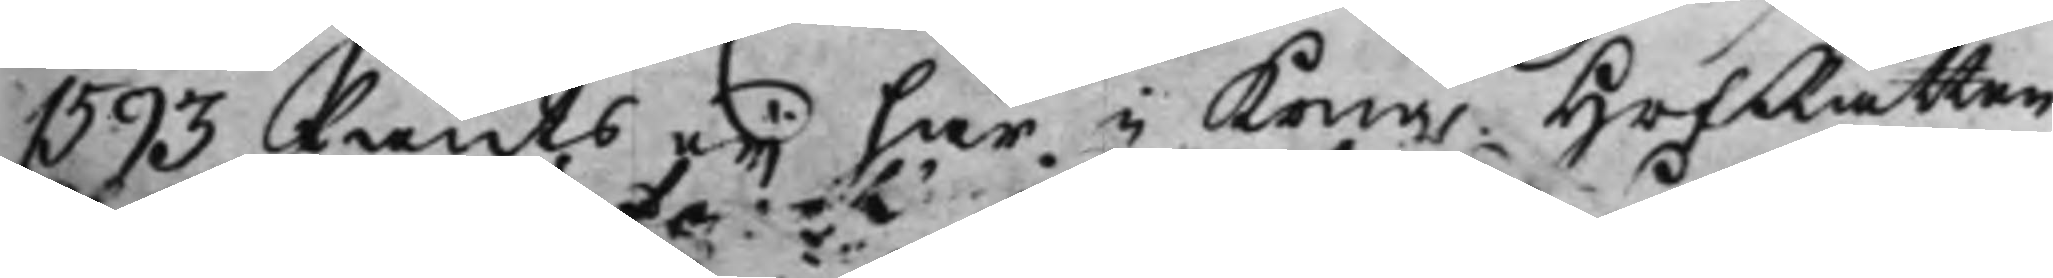1593 fants eij här i Kong. HofRätten
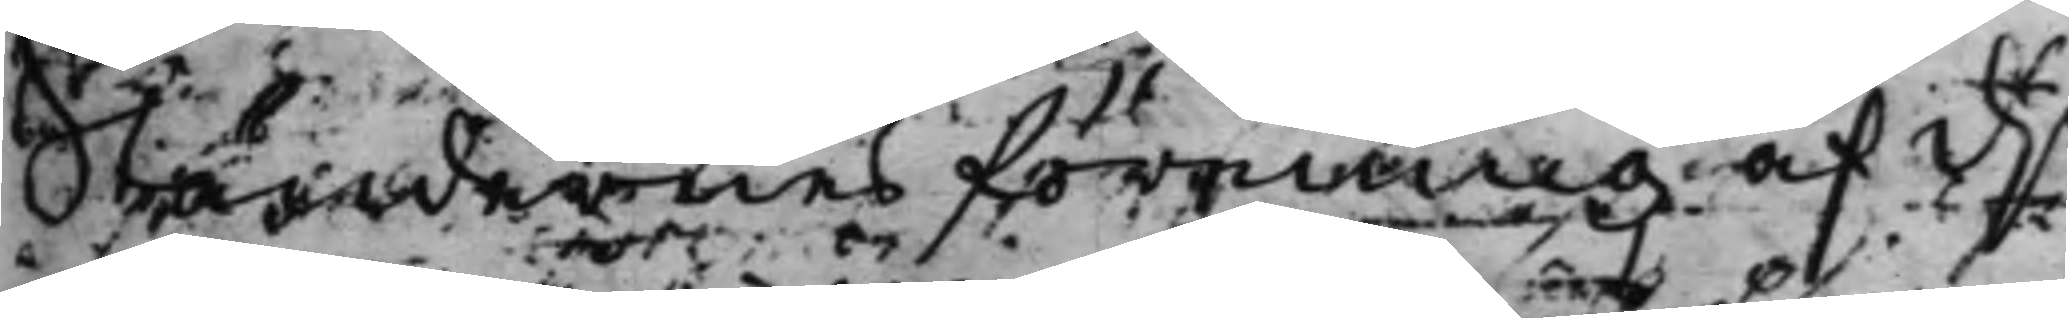Ständernas förening af d.n
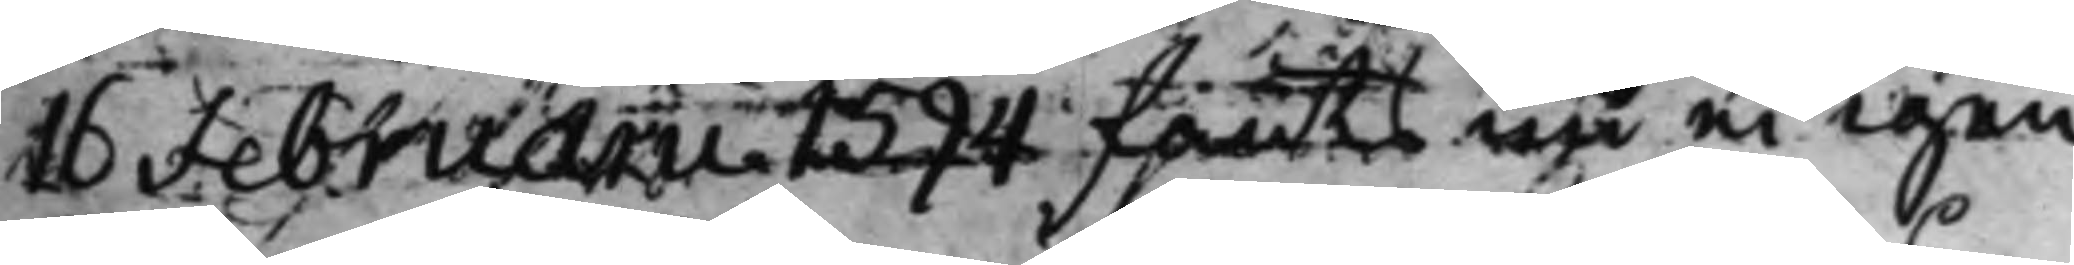16 Februari 1594 fants nu ei igen.
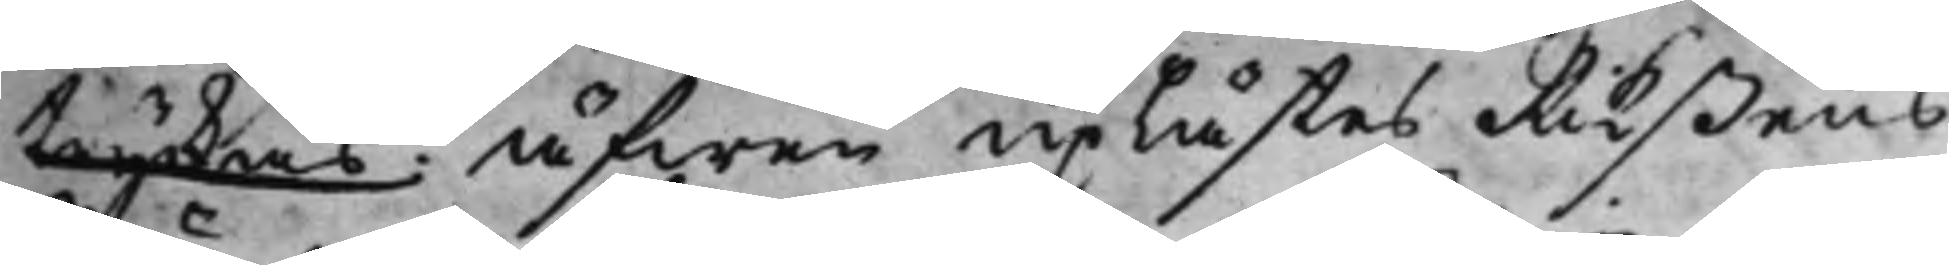tryckas. Äfwen uplästes Rikßens
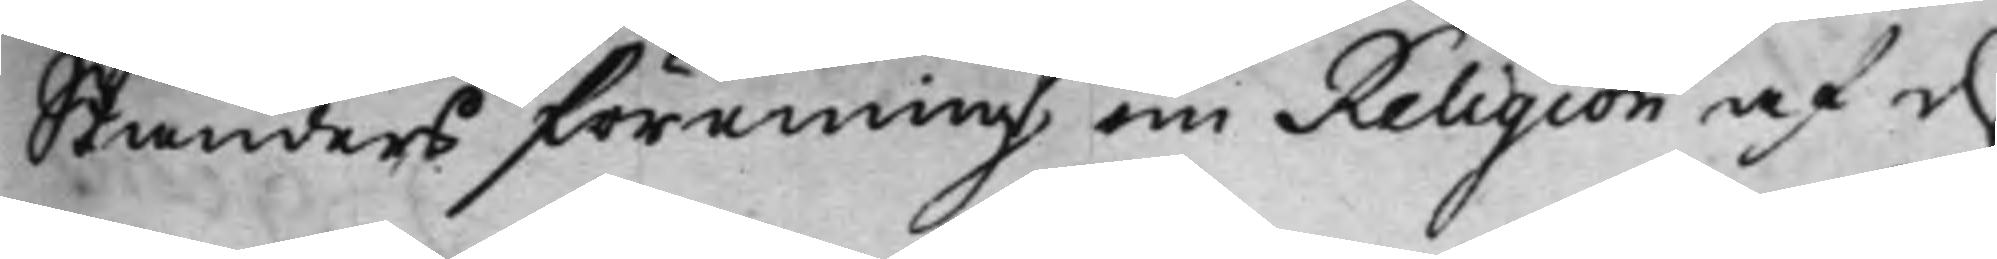Ständers förening om Religion af d.n
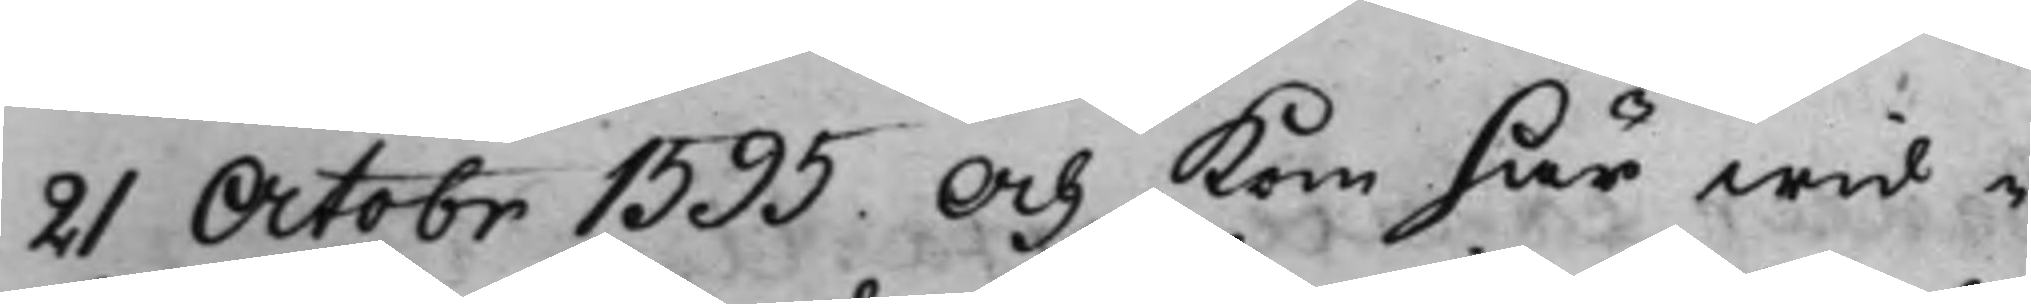21 Octobr. 1595. Och kom här wid i
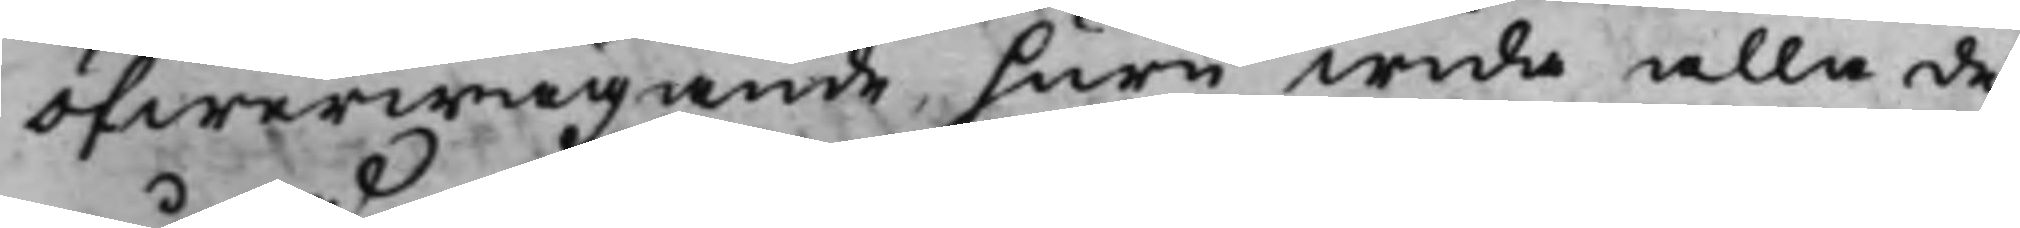öfwerwägande, huru wida alla de
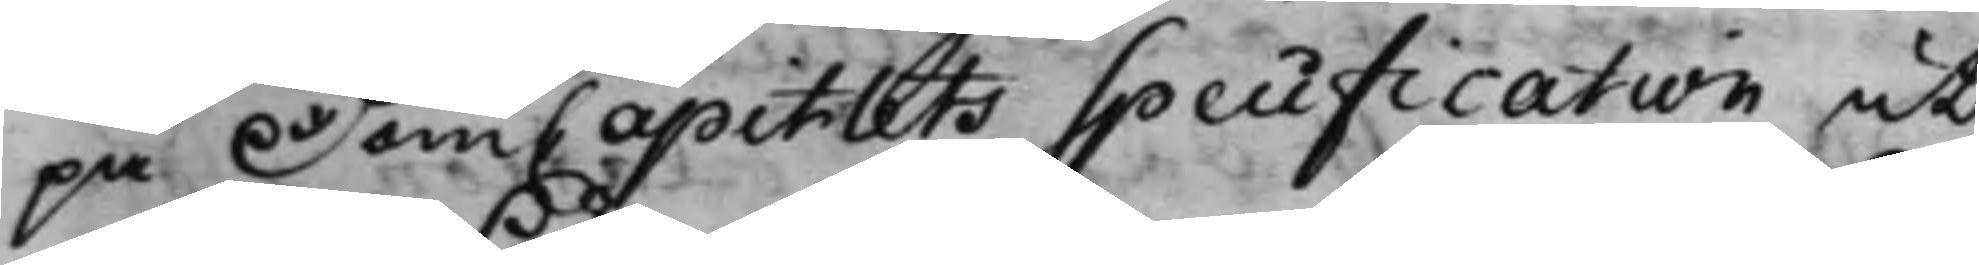på DomCapitlets Specification, ut¬
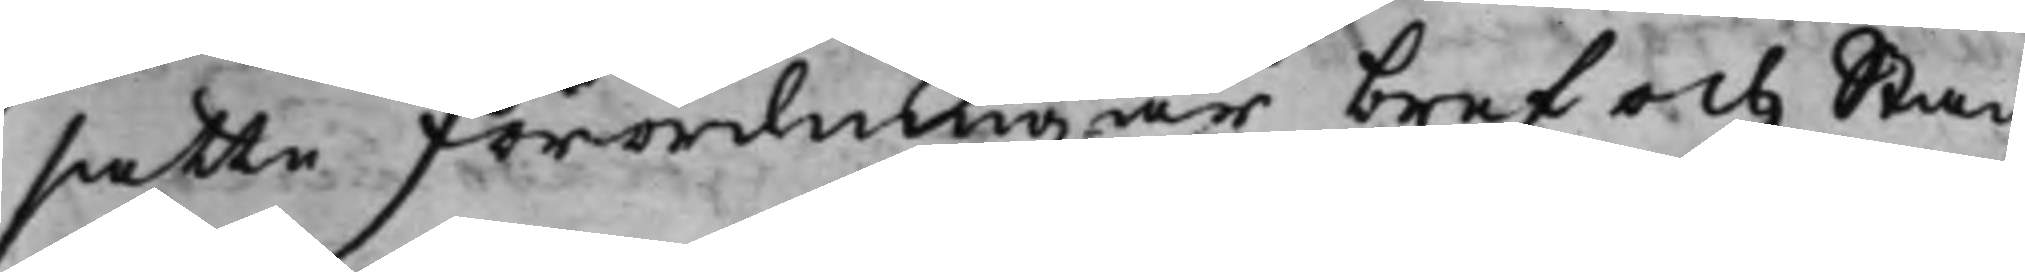satte Förordningar bref och Stad¬
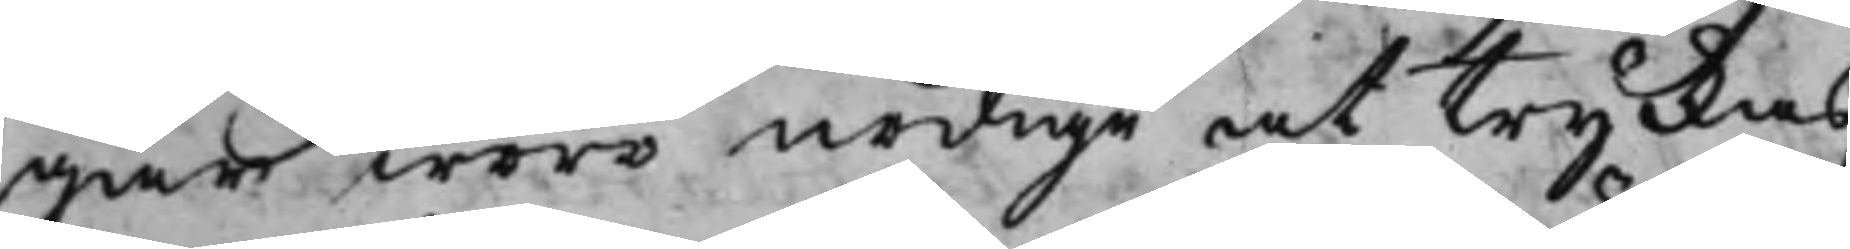gar woro nödige at tryckas,
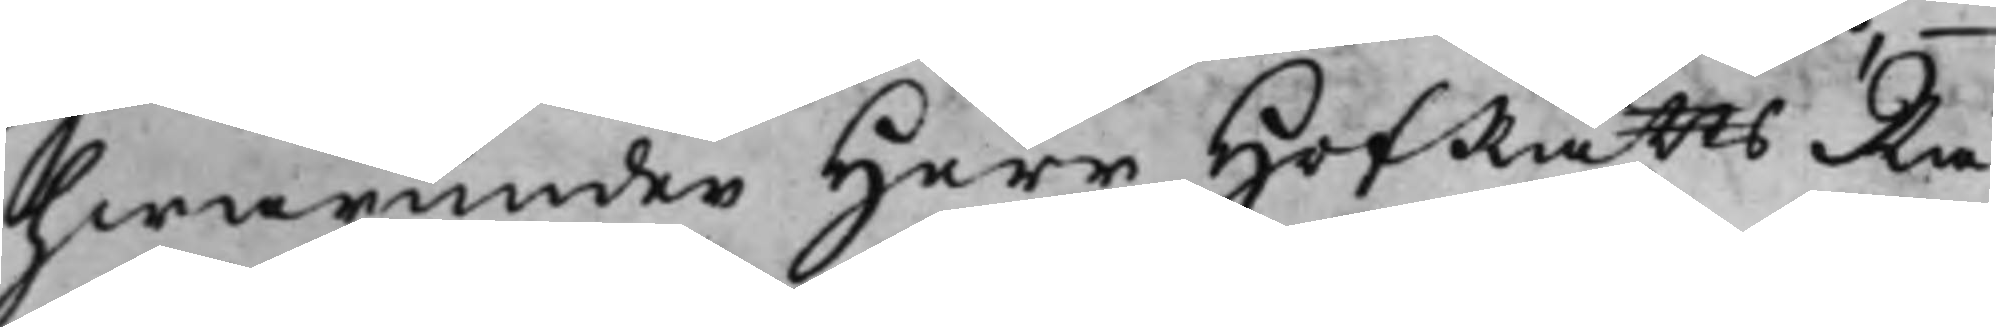hwarunder Herr HofRättsRå¬
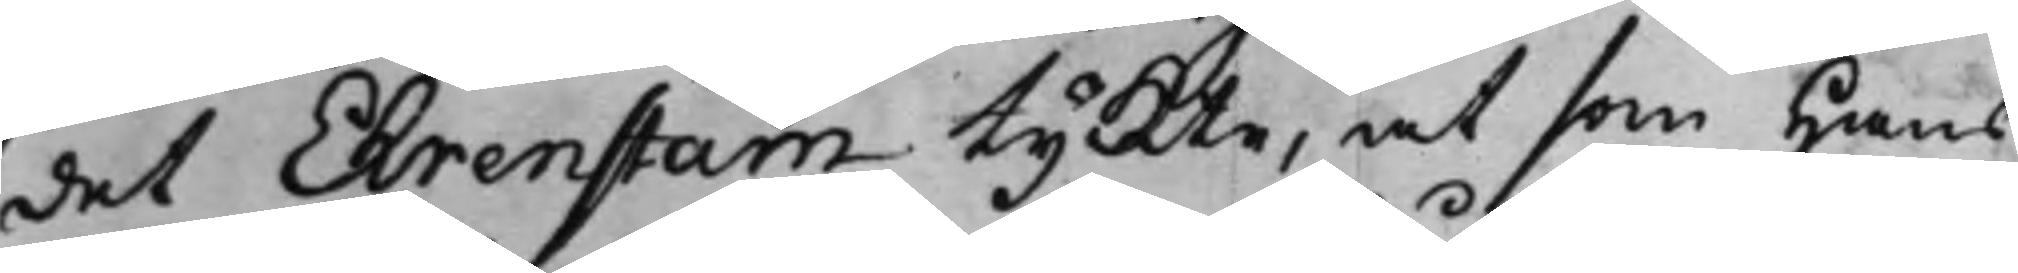det Ehrenstam tyckte, at som Hans
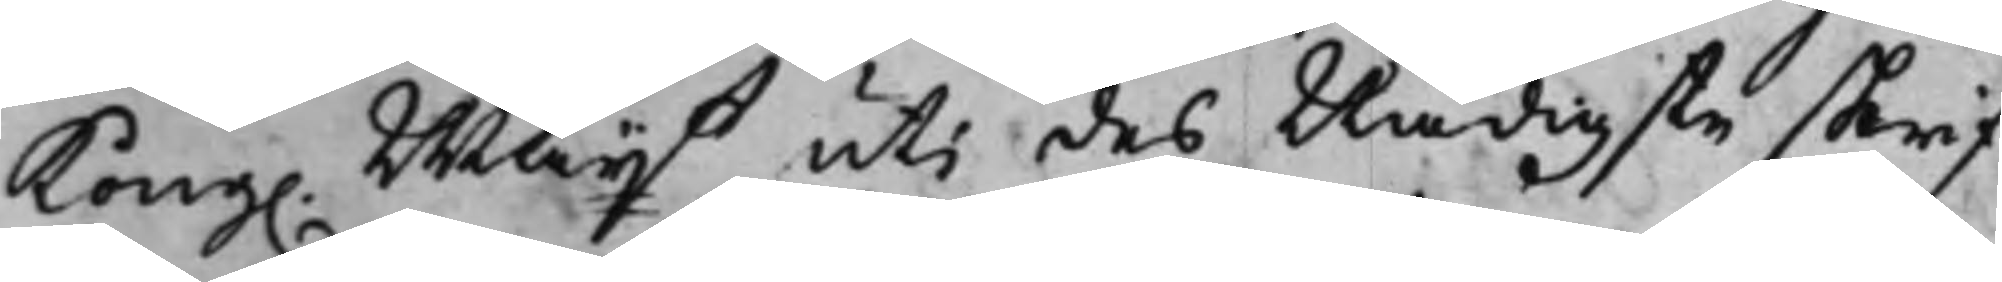Kong. Maijt uti des Nådigste skrif¬
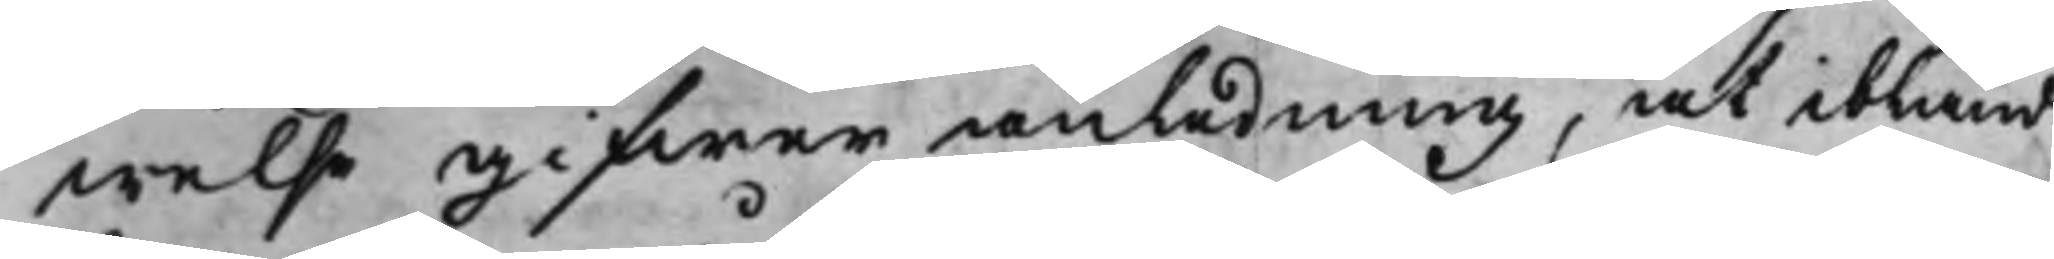welse gifwer anledning, at ibland
